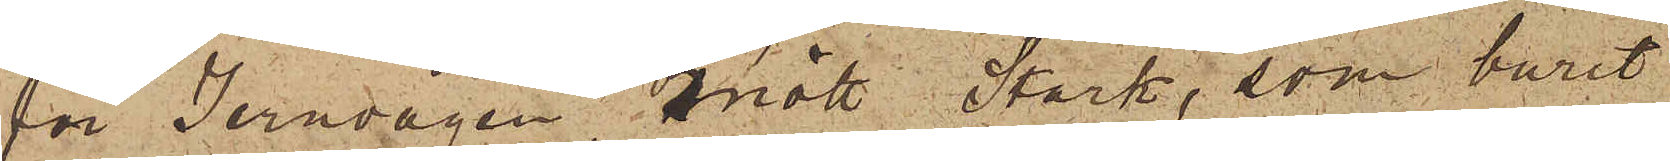för Jernvågen mött Stark, som burit
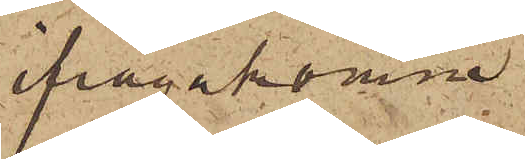ifrågakomne
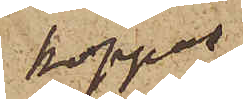koppar¬
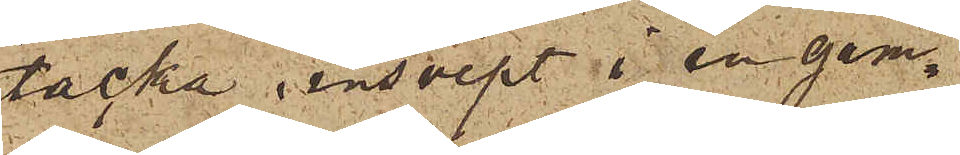tacka, insvept i en gam¬
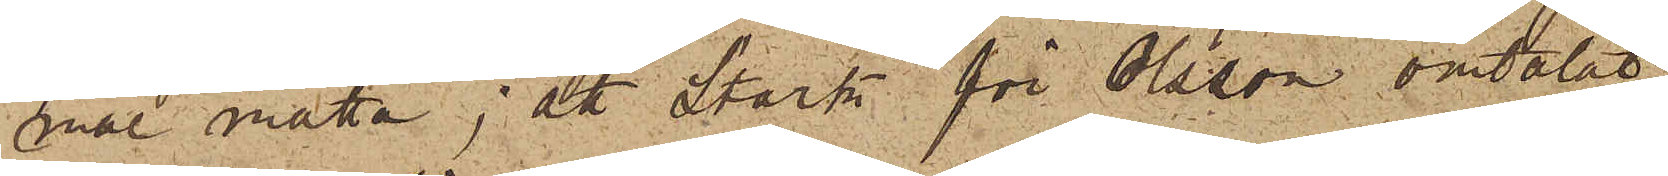nal matta; att Stark för Olsson omtalat
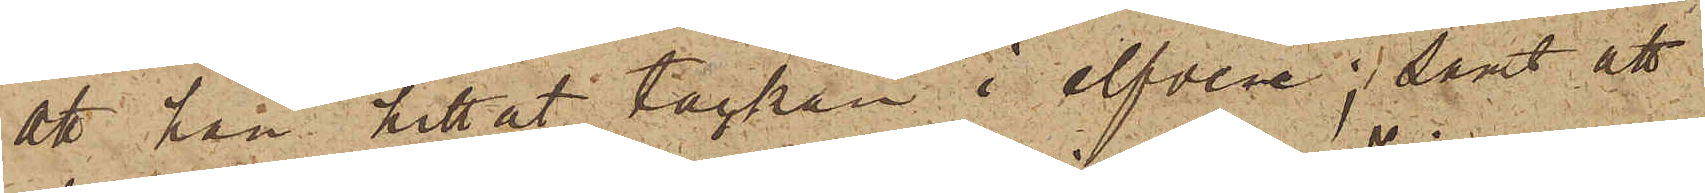att han hittat tackan i elfven; samt att
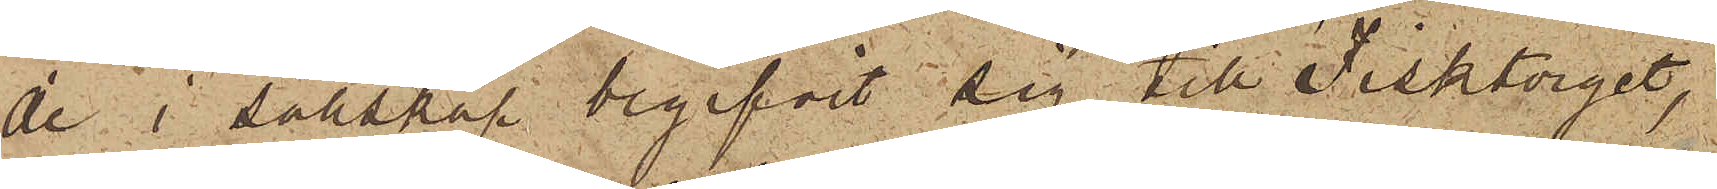de i sällskap begifvit sig till Fisktorget,
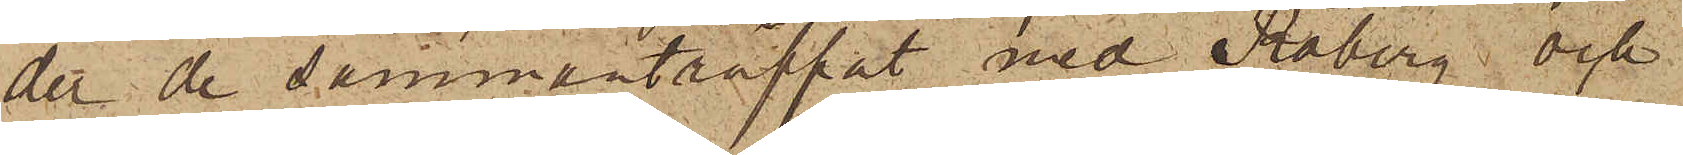der de sammanträffat med Råberg och
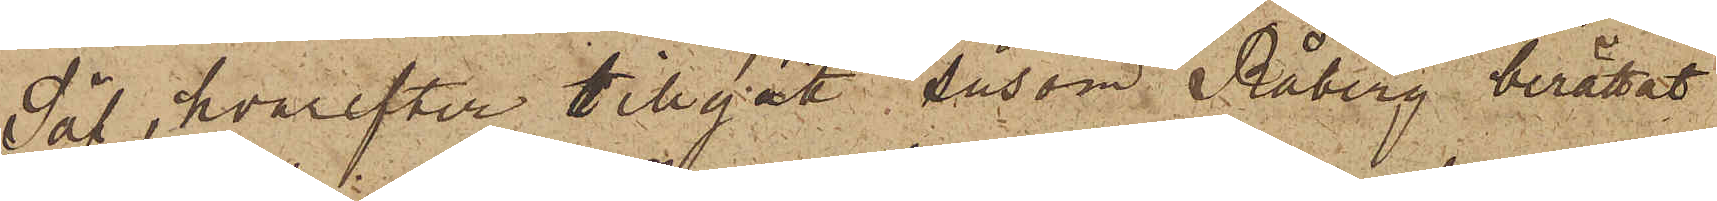Säf, hvarefter tillgått, såsom Råberg berättat
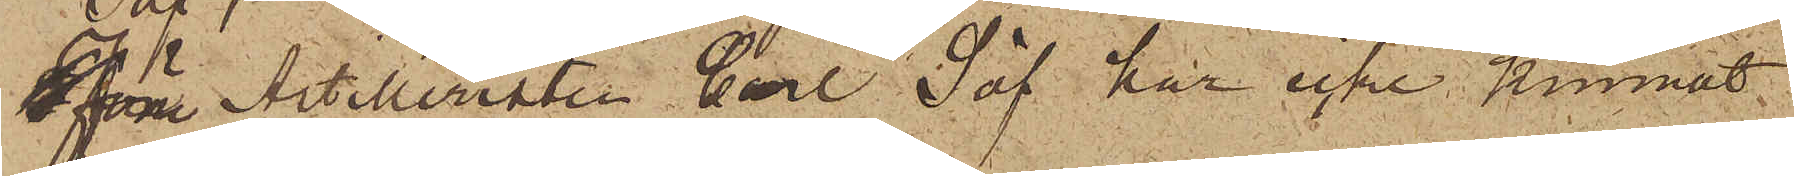Förre Artilleristen Carl Säf har icke kunnat
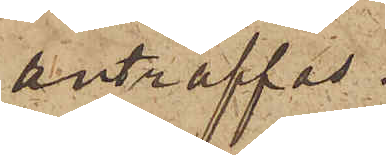anträffas.
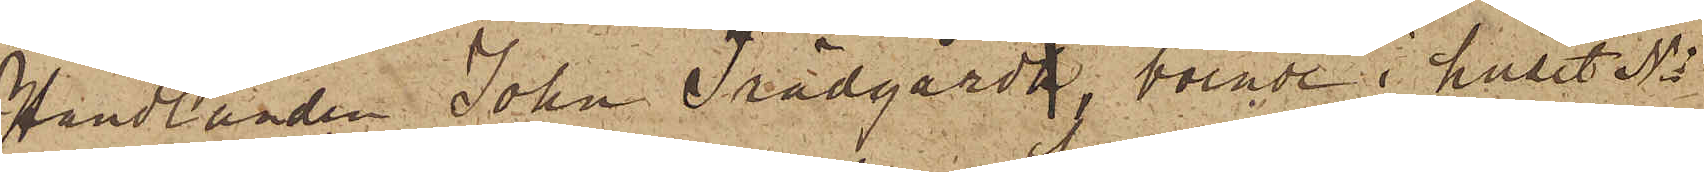Handlanden John Trädgårdh, boende i huset No
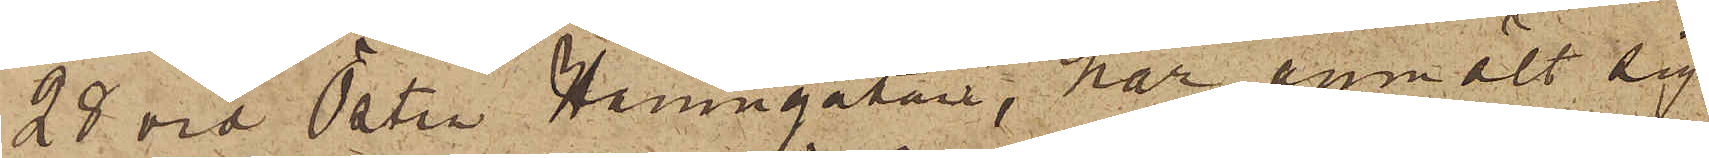28 vid Östra Hamngatan, har anmält sig
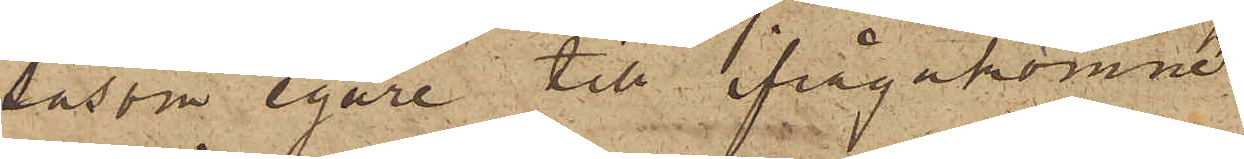såsom egare till ifrågakomne
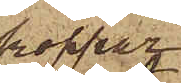koppar¬
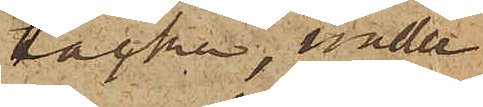tacka, under
